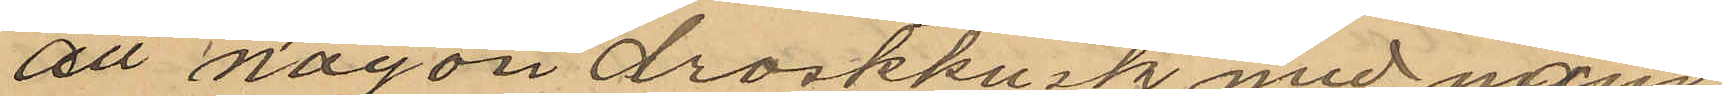att någon droskkusk med nam¬
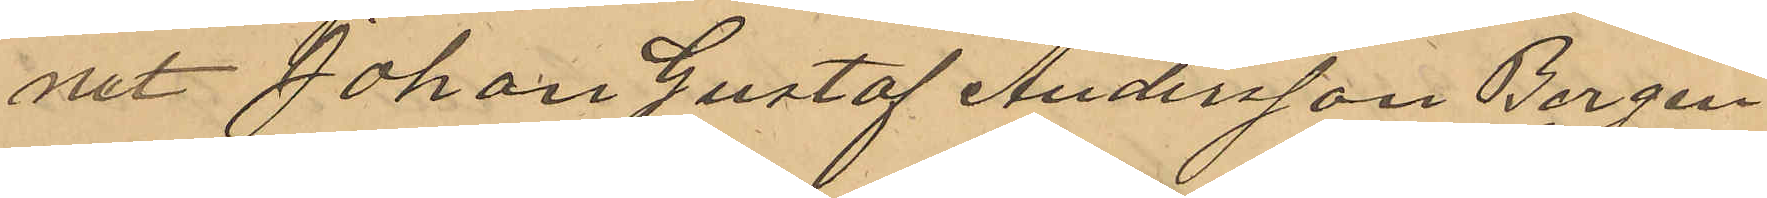net Johan Gustaf Andersson Bergen¬
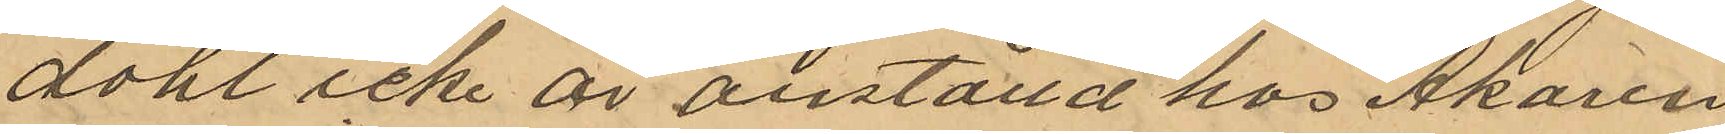dahl icke är anställd hos Åkaren
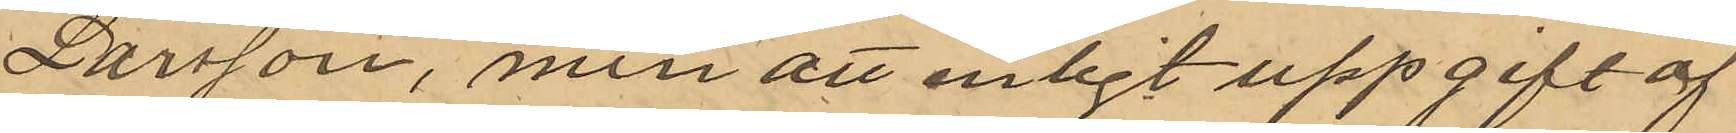Larsson, men att enligt uppgift af
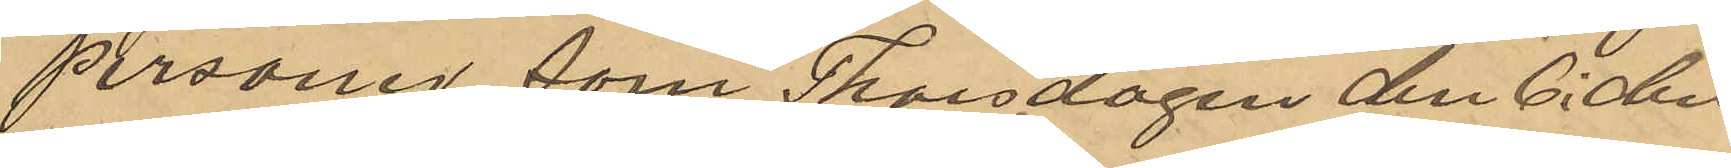personer som Thorsdagen den 6 i den¬
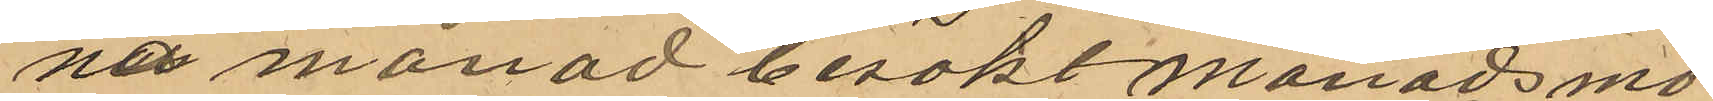na månad besökt månadsmö¬
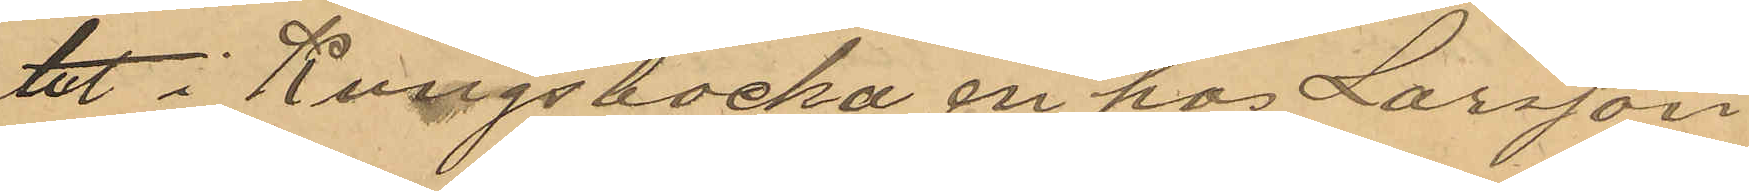tet i Kungsbacka en hos Larsson
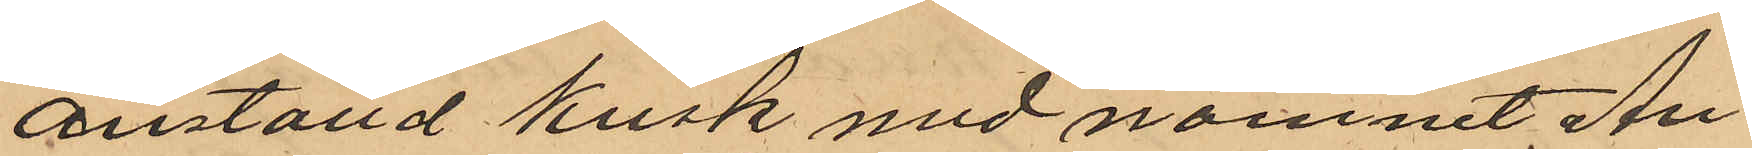anställd kusk med namnet An¬
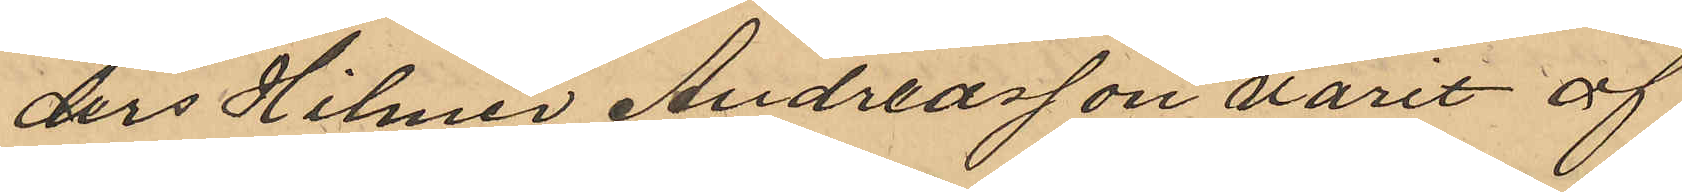ders Hilmer Andreasson varit af
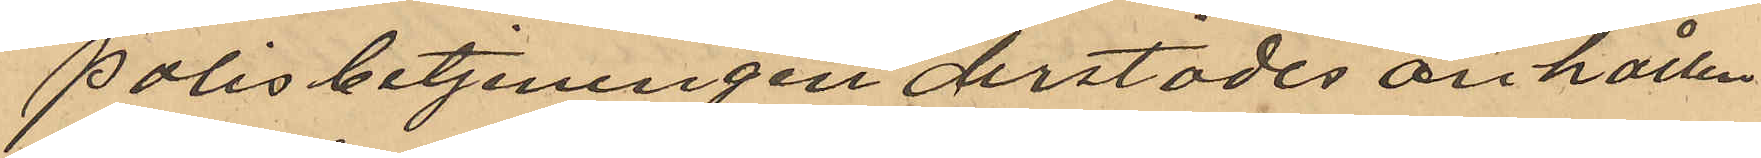polisbetjeningen derstädes anhållen.
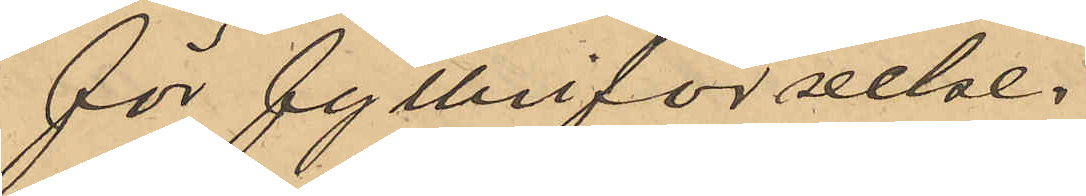för fylleriförseelse.
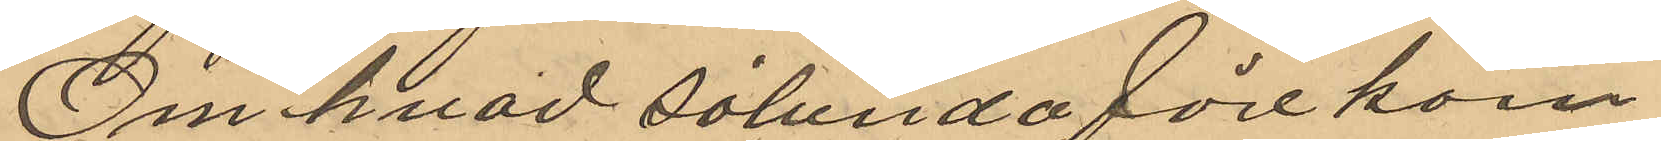Om hvad sålunda förekom¬
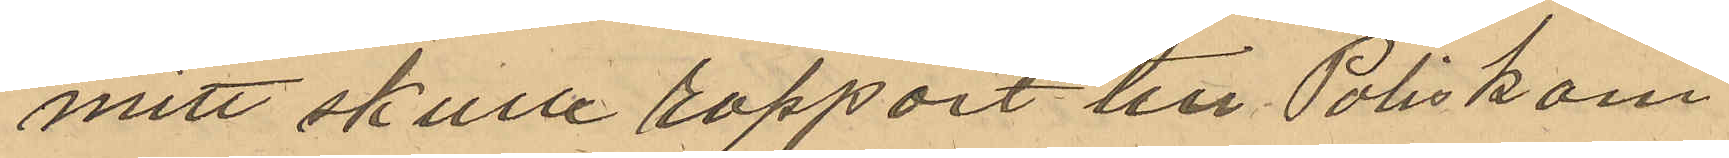mitt skulle rapport till Poliskam¬
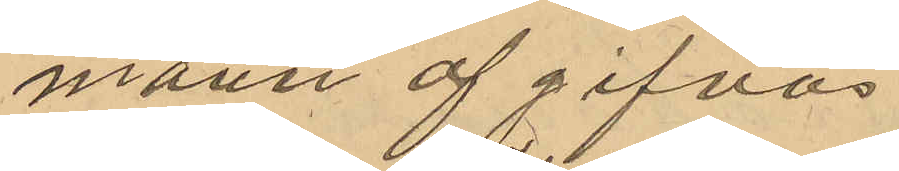mann af gifvas.
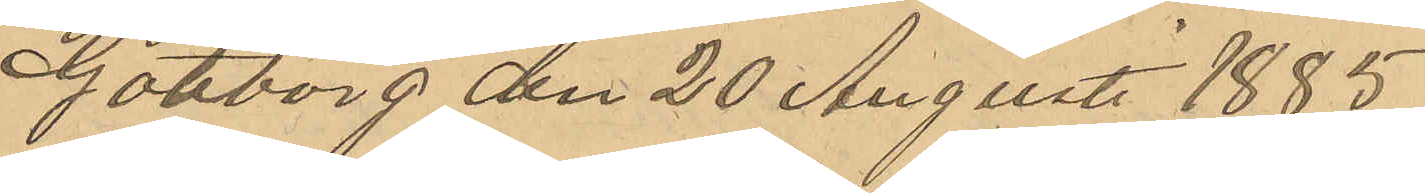Göteborg den 20 Augusti 1885
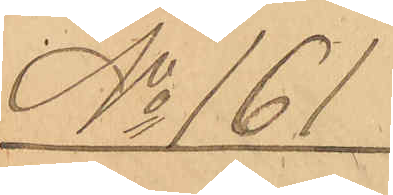No 161
